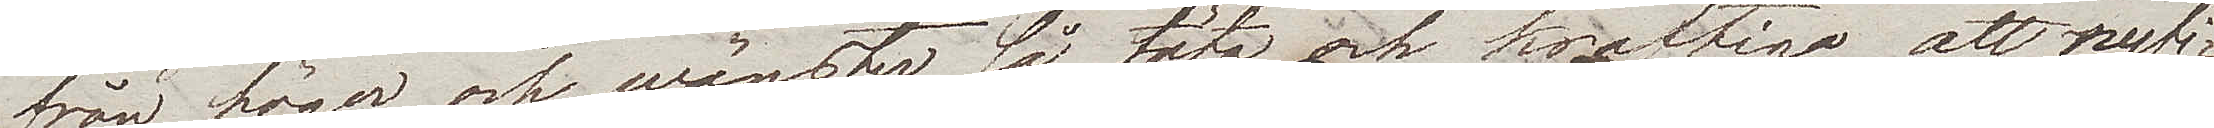från höger och wänster så täta och kraftiga att nyfi¬
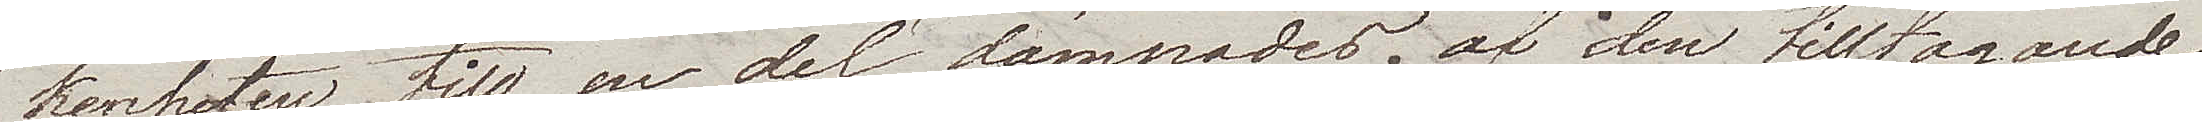kenheten till en del dämpades af den tilltagande
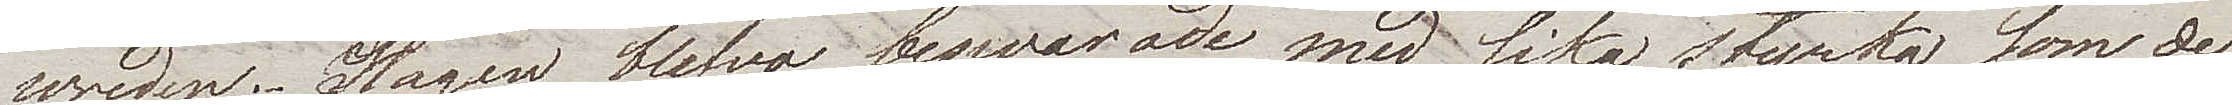wreden. Slagen blefvo beswarade med lika styrka som de
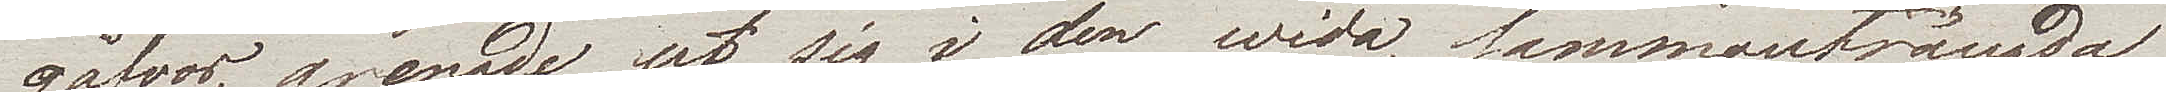gåfvos, grenade ut sig i den wida, sammaträngda
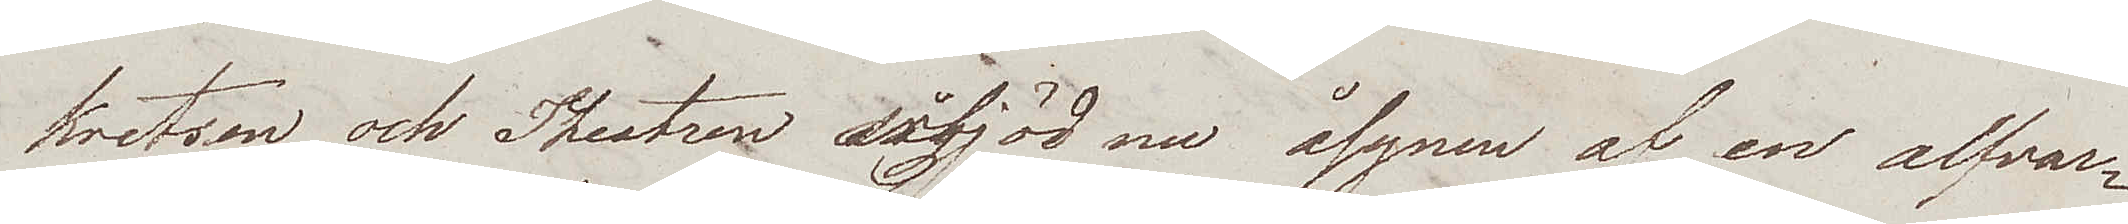kretsen och Theatren ärbjöd nu åsynen af en alfvar¬
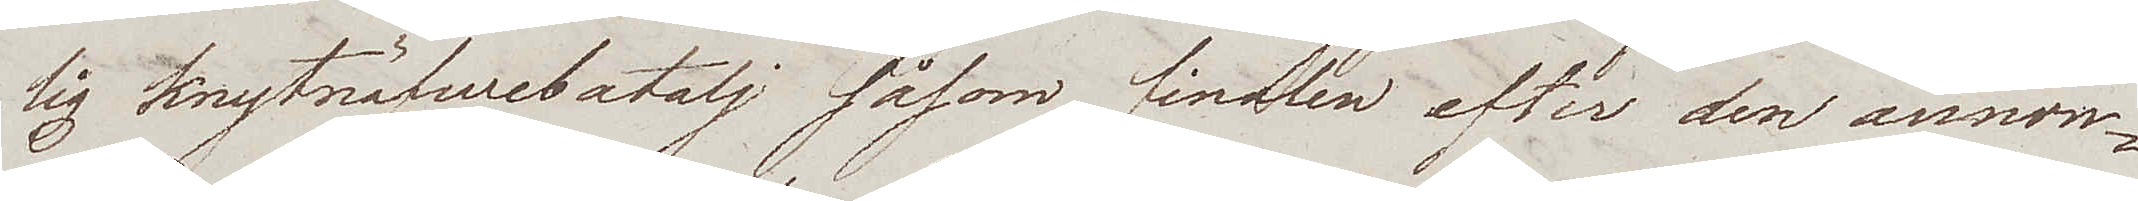lig knytnäfwebatalj såsom finalen efter den annon¬
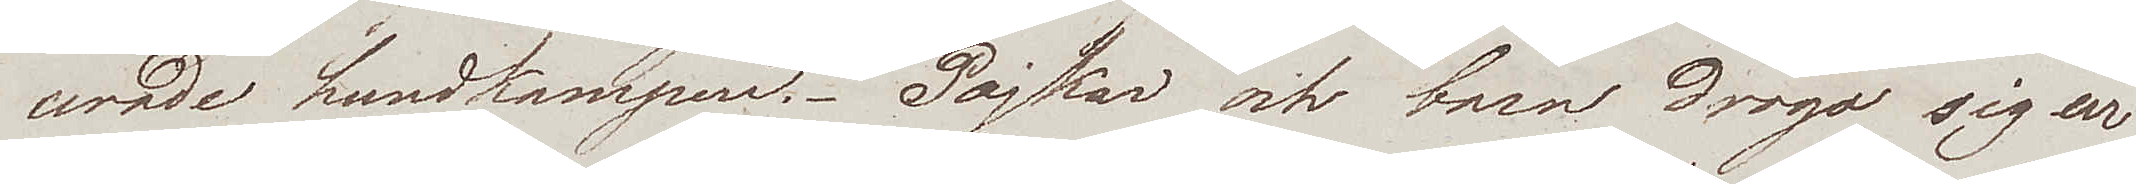cerade hundkampen. Pojkar och barn drogo sig ur
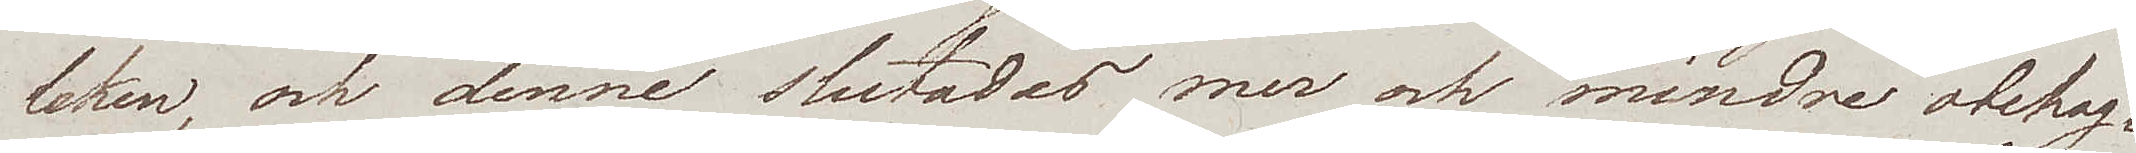leken och denne slutades mer och mindre obehag¬
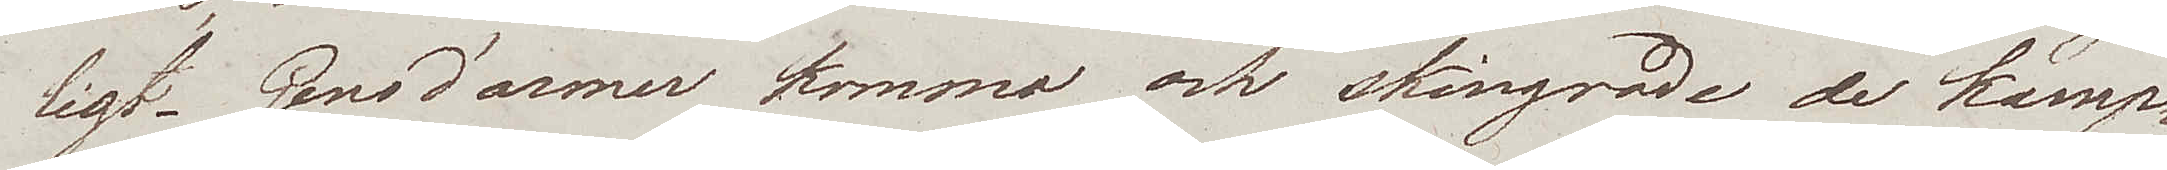ligt. Gens d'armer kommo och skingrade de kamp¬
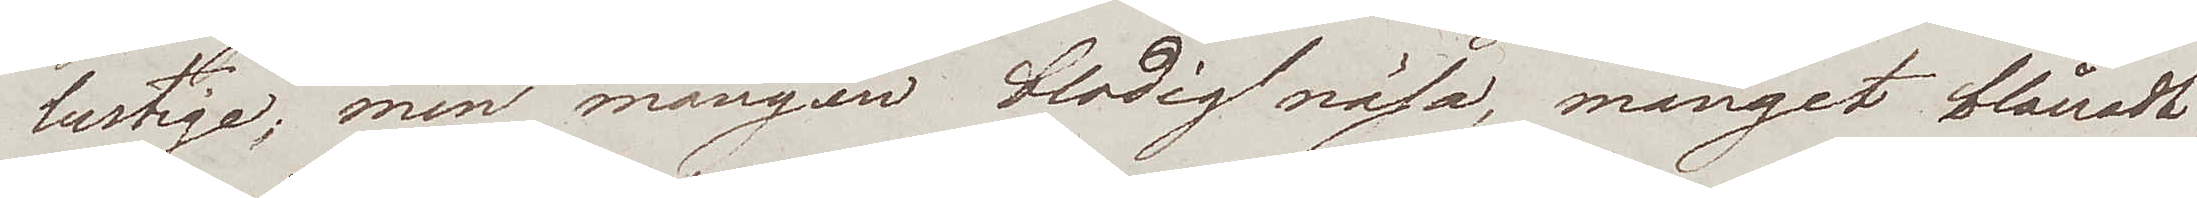lustige; men mången blodig näsa, månget blånadt
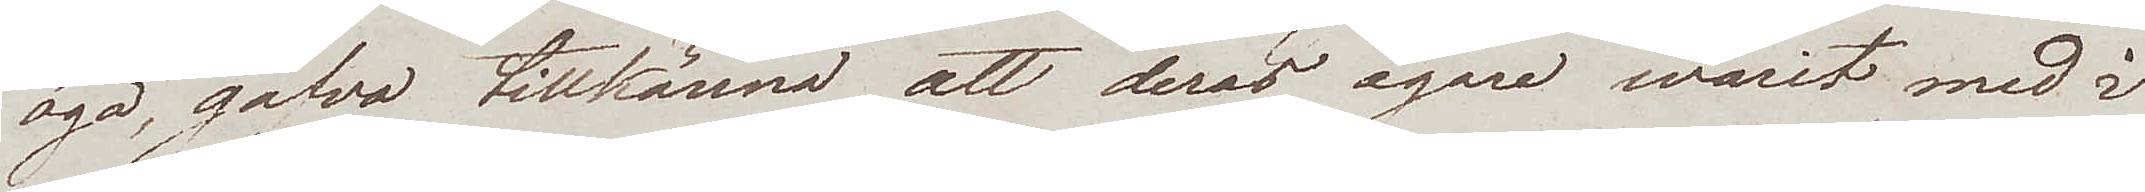öga, gåfvo tillkänna att deras ägare warit med i
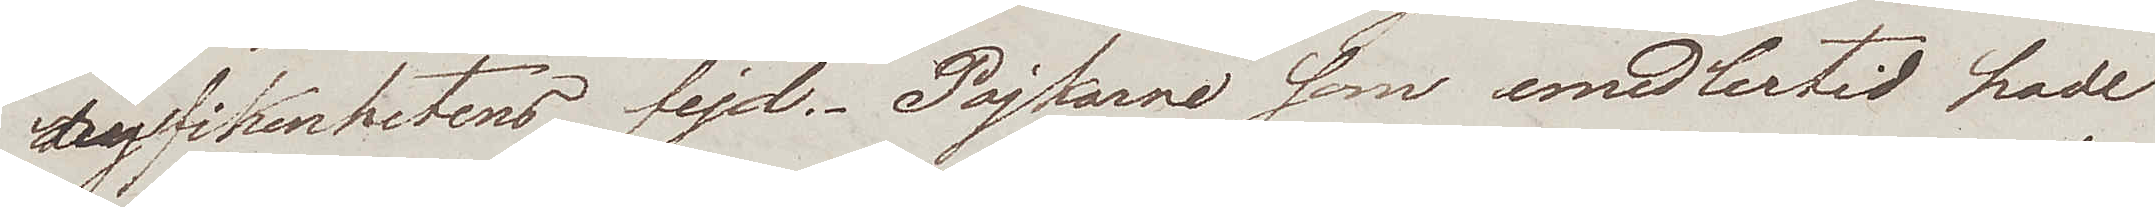nyfikenhetens fejd. Pojkarne som emedlertid hade
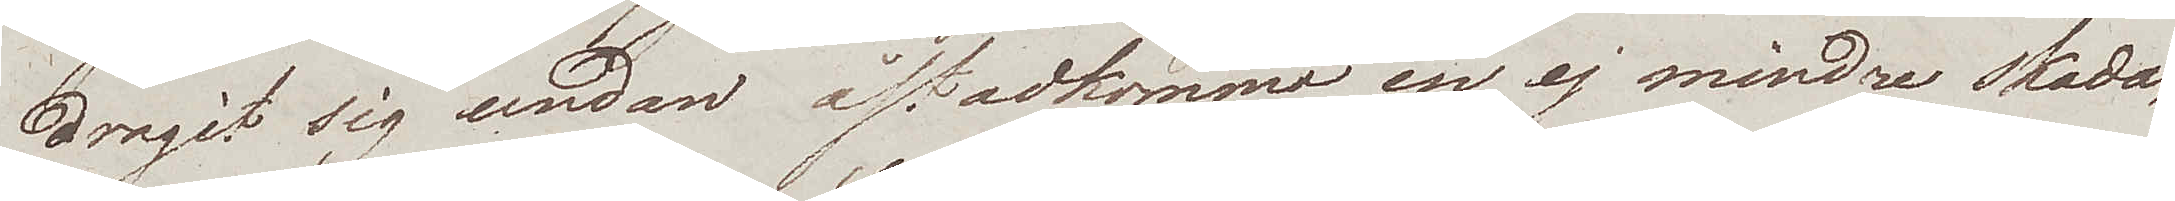dragit sig undan åstadkommo en ej mindre skada;
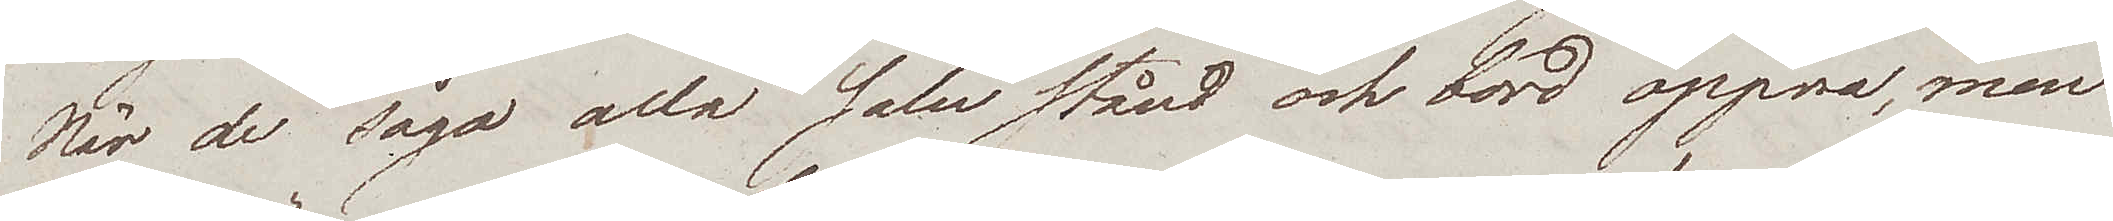När de sågo alla salustånd och bord öppna, men
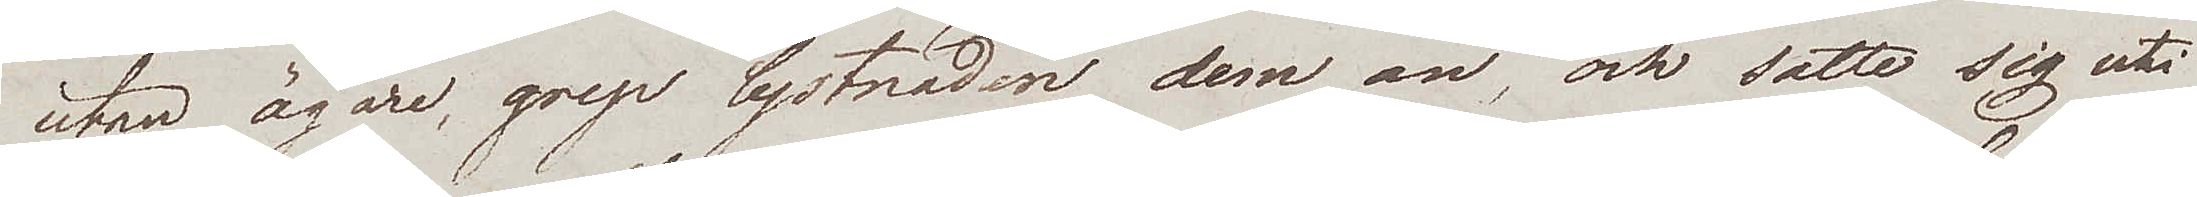utan ägare, grep lystnaden dem an, och satte sig uti
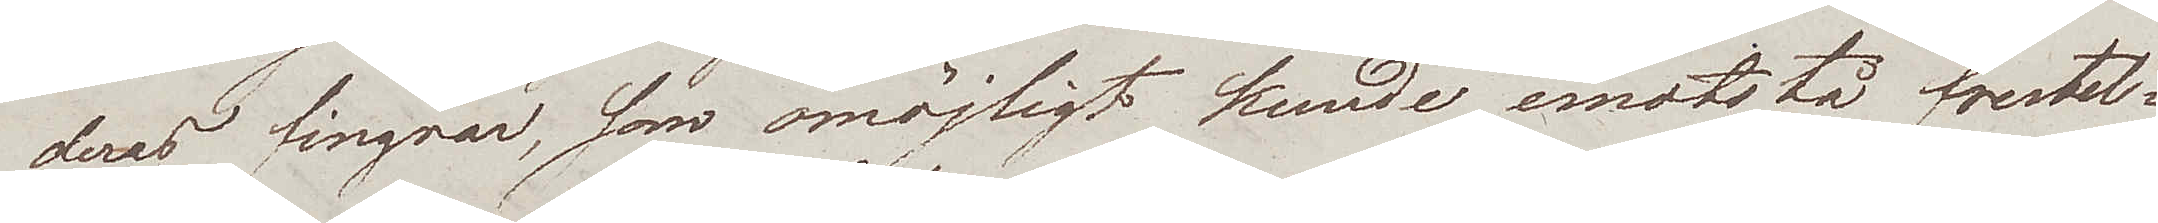deras fingrar, som omöjligt kunde emotstå frestel¬
